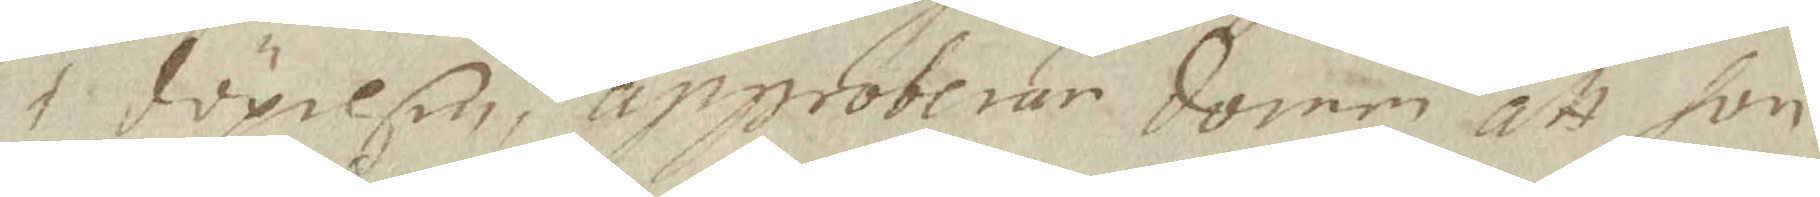i döpelsen, approberar domen att hon
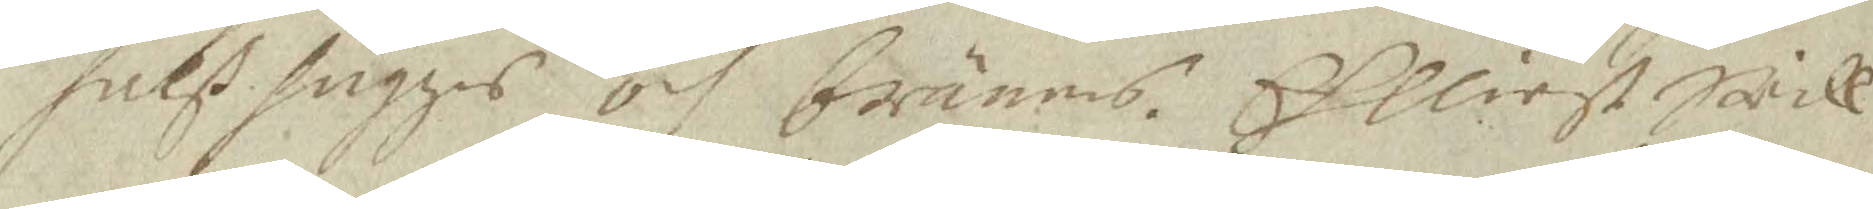halß hugges och bränns. Elliest will
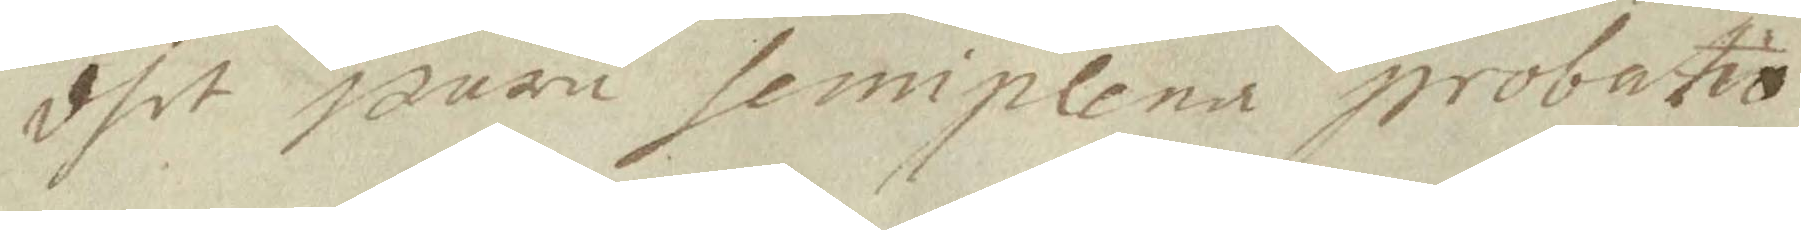dhet wara semiplena probatio.
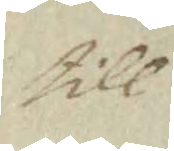till
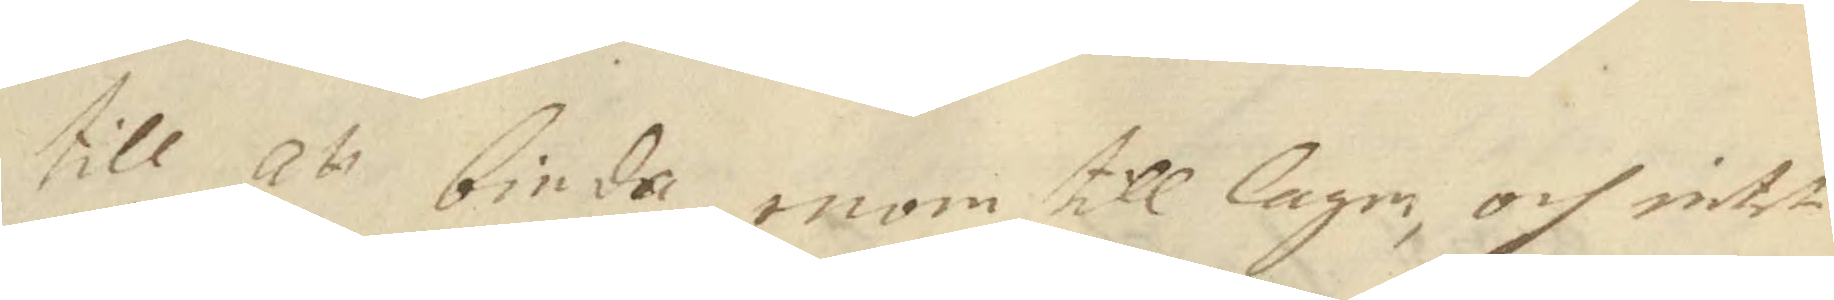till att binda inom till lagan, och intet
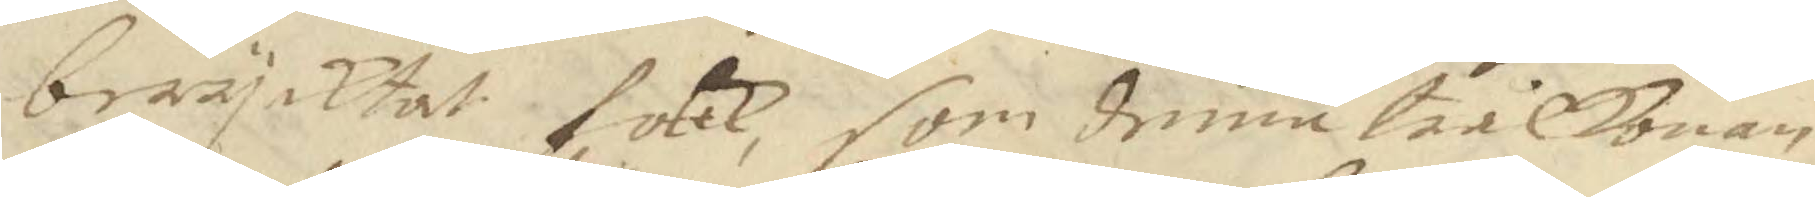berycktat folck, som denne trålkonan
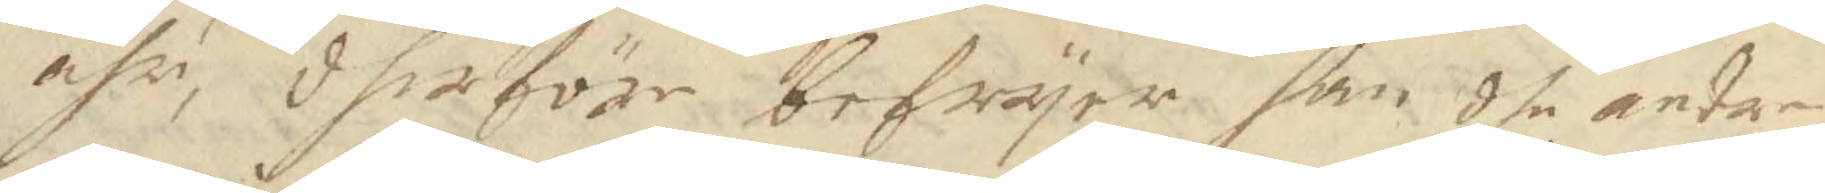ähr, dherföre befryar han dhe andre
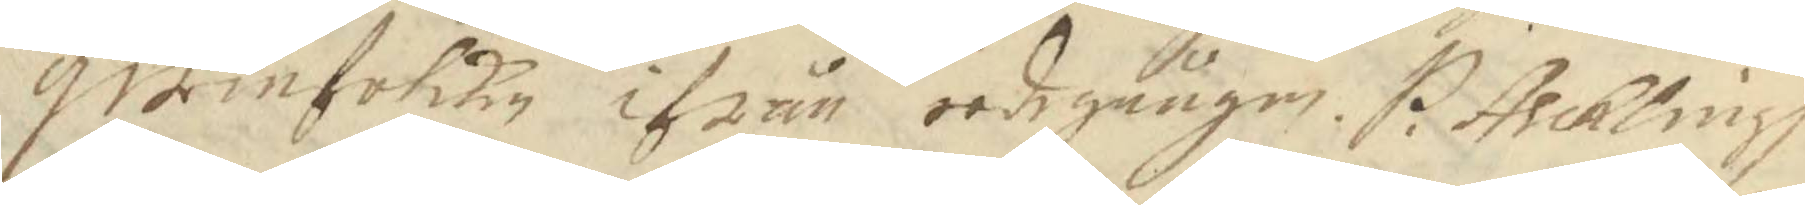qwinfolken ifrån eedegången. P. Asckling 
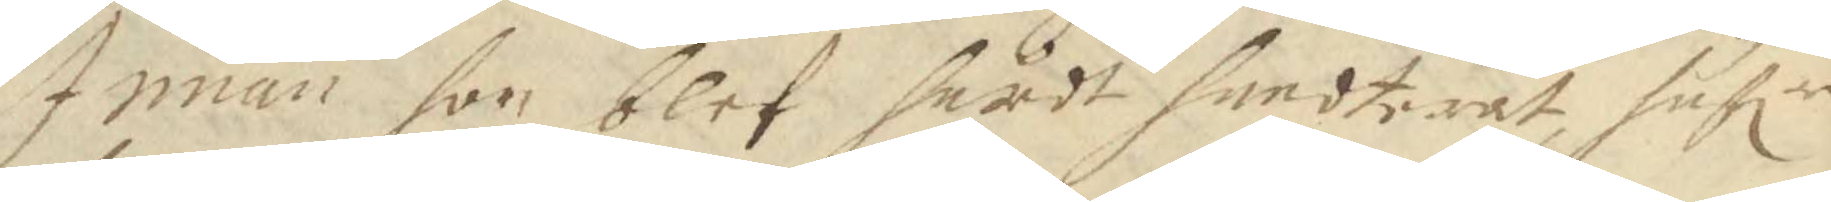Innan hon blef hårdt handterat, hafr
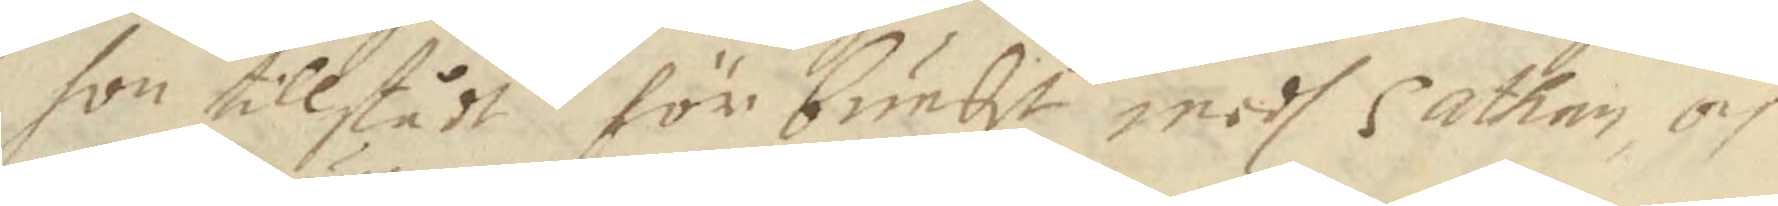hon tillstådt förbundit medh Sathan, och
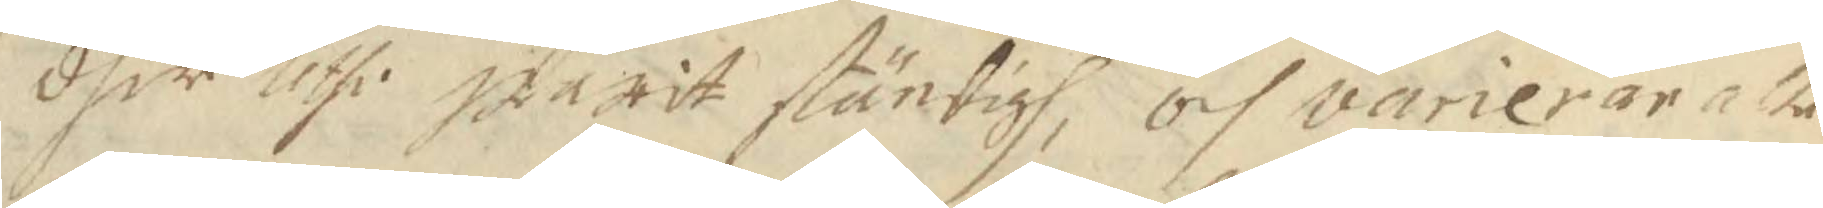dher uthi warit ständigh, och varierar alle¬
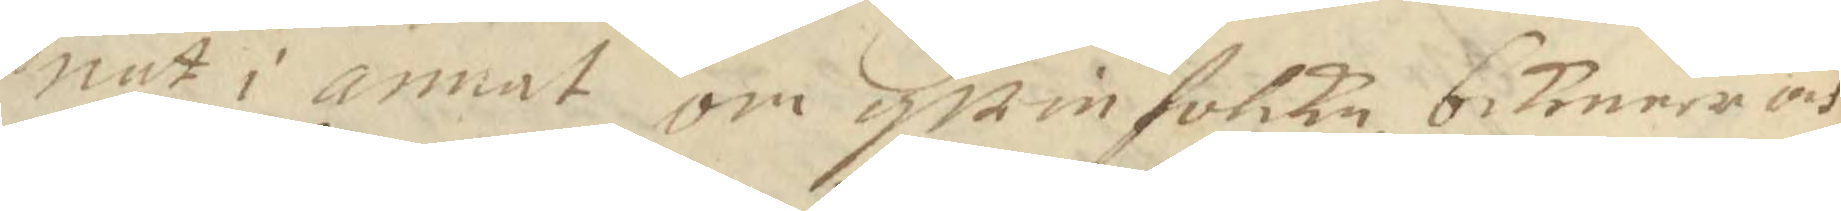nast i annat om qwinfolcke bekenner och
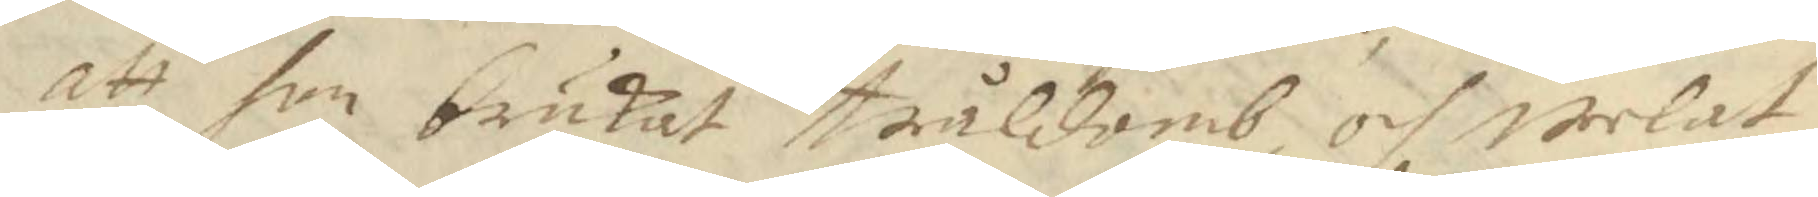att hon brukat tråldomb, och welat
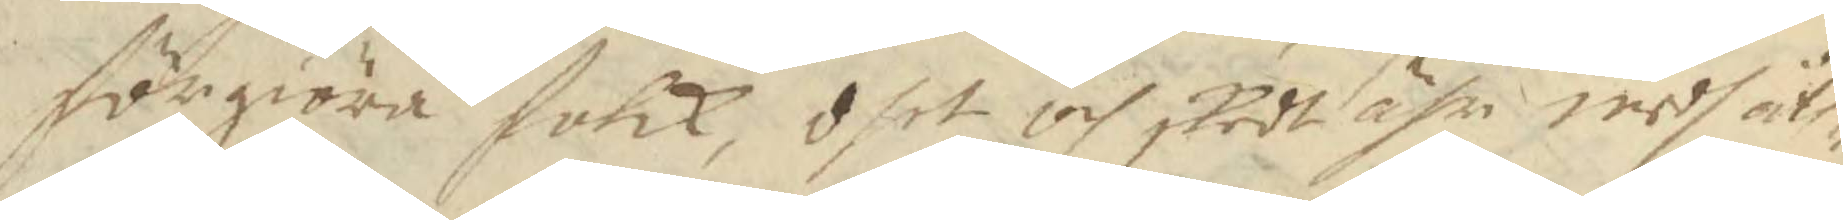förgiöra folck, dhet och skedt ähr medh åth¬
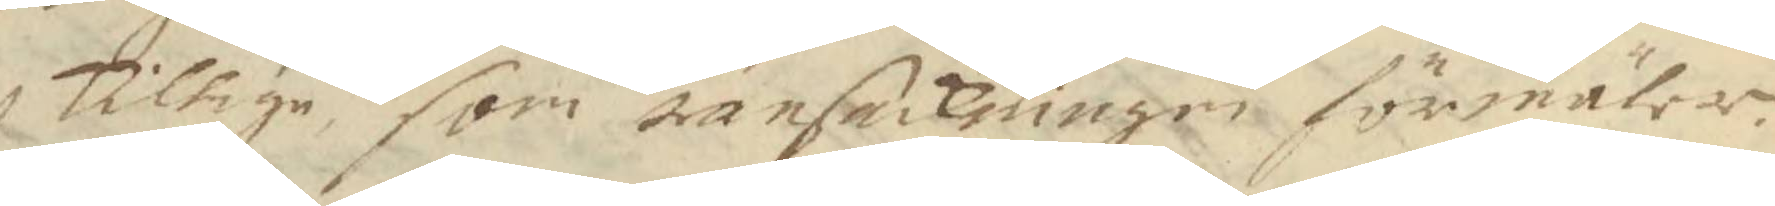skillige, som ransakningen förmäler.
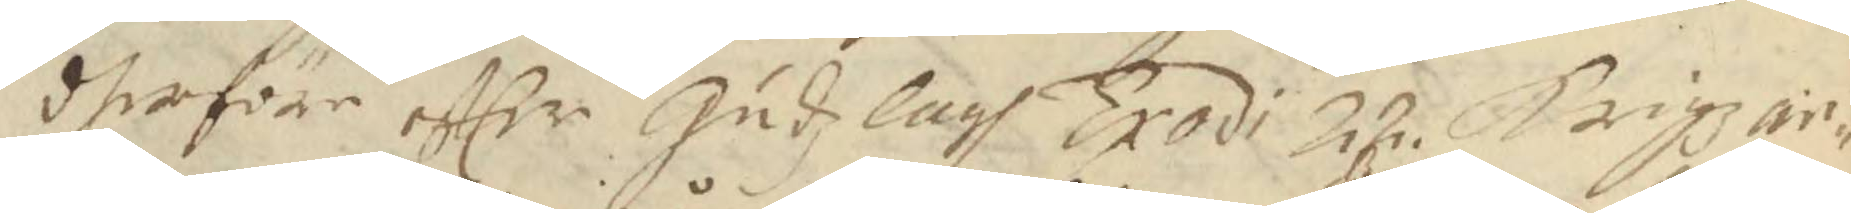dherföre efter Gudz lagh Exodi 22 Krigzar¬
